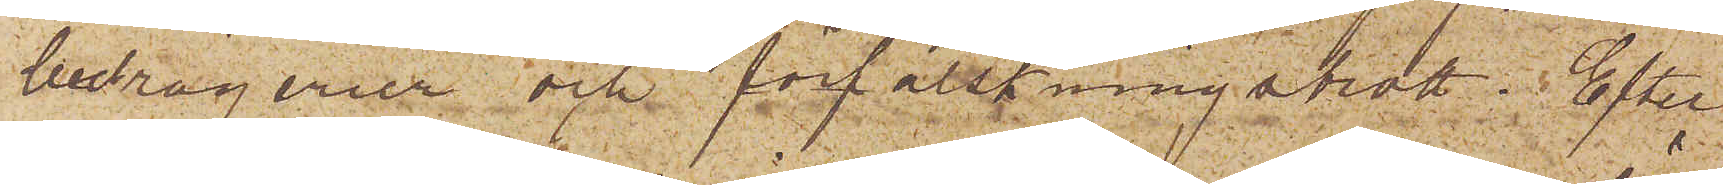bedrägerier och förfalskningsbrott: Efter
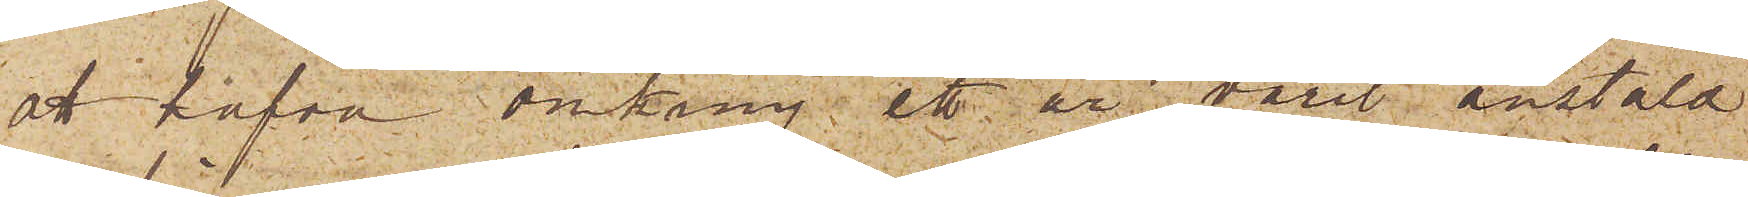att hafva omkring ett år varit anstäld
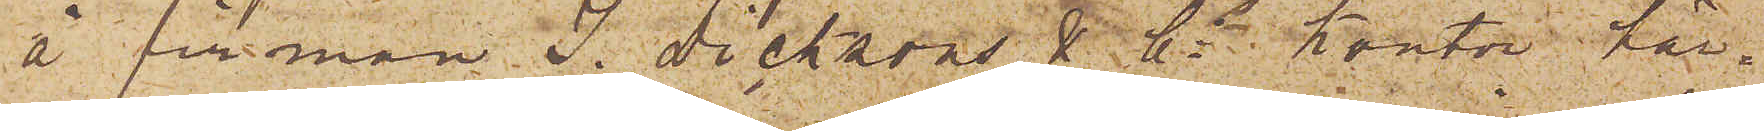å firman J. Dicksons & Cos Kontor här¬
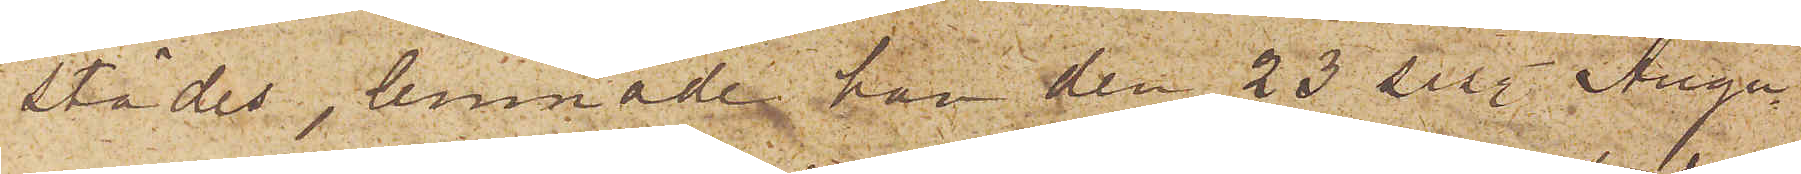städes, lemnade han den 23 sist. Augu¬
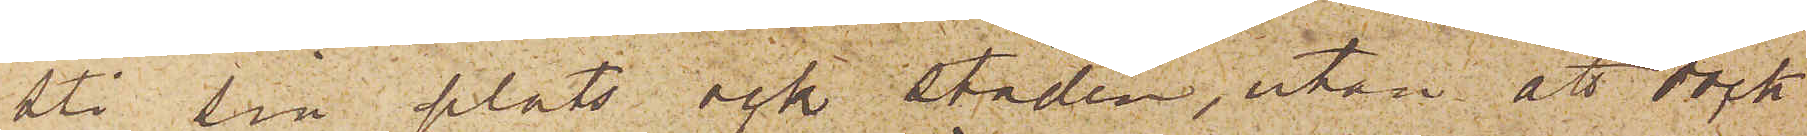sti sin plats och Staden, utan att dock
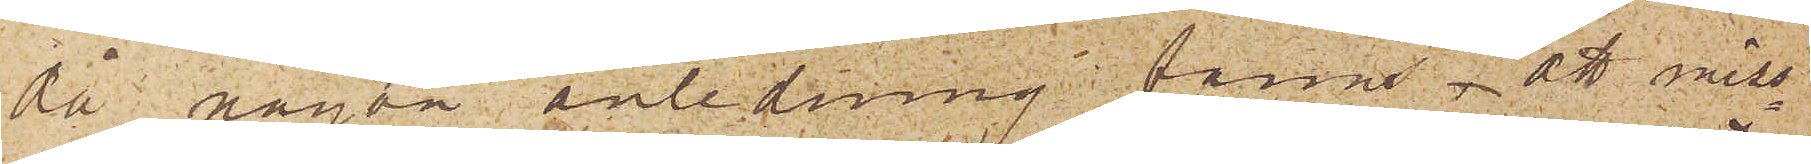då någon anledning fanns, att miss¬
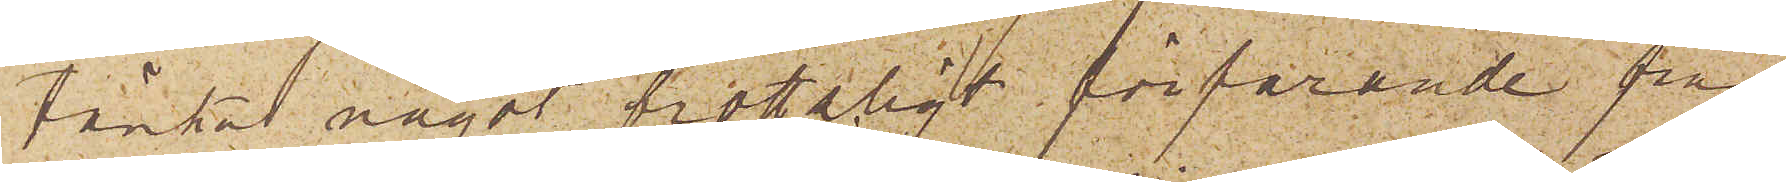tänka något brottligt förfarande från
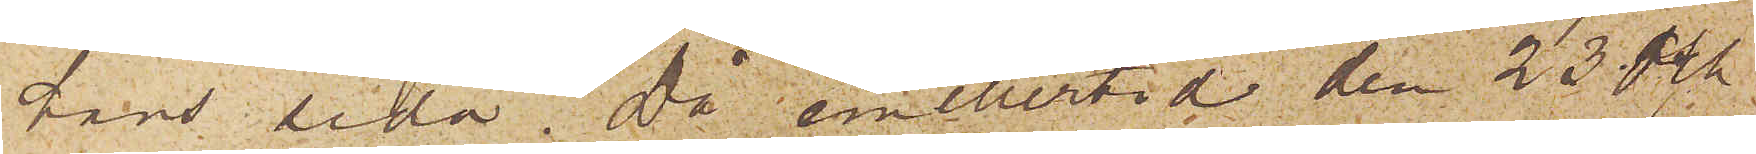hans sida. Då emellertid den 23 och
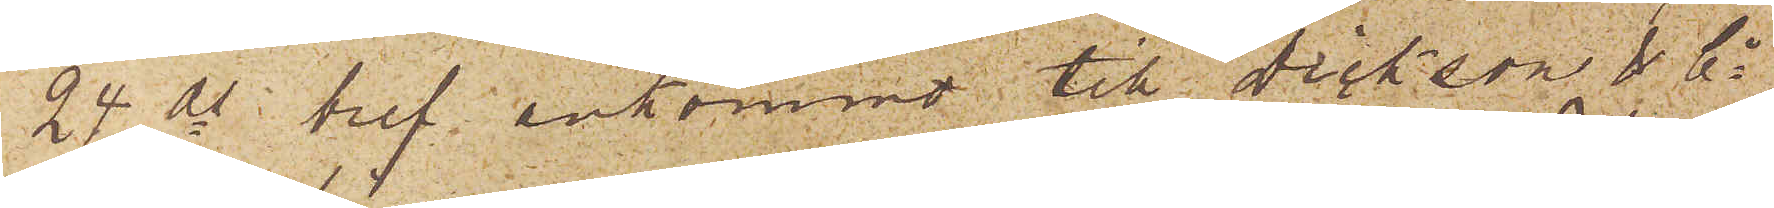24 ds bref ankommit till Dickson & Co
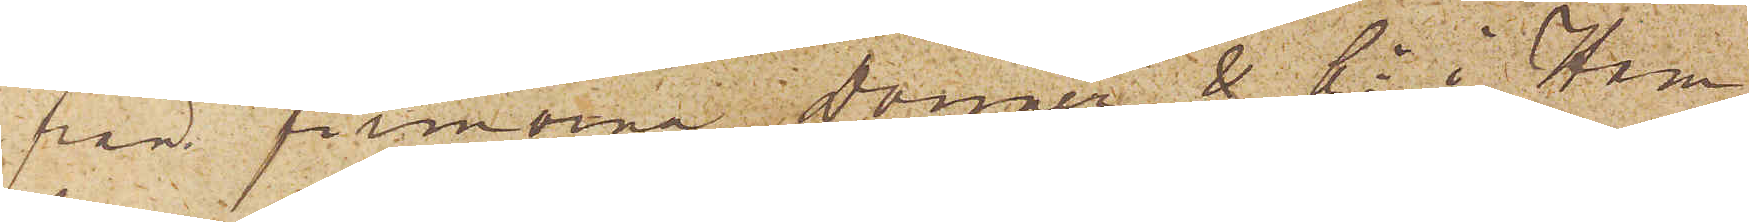från firmorna Donner & Co i Ham¬
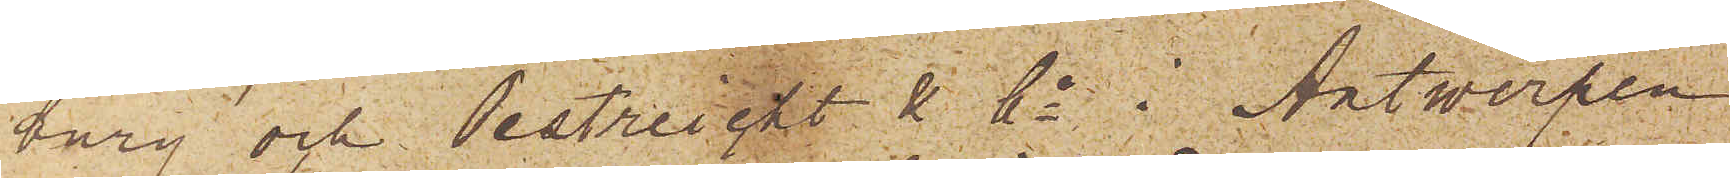burg och Oestreicht & Co i Antwerpen
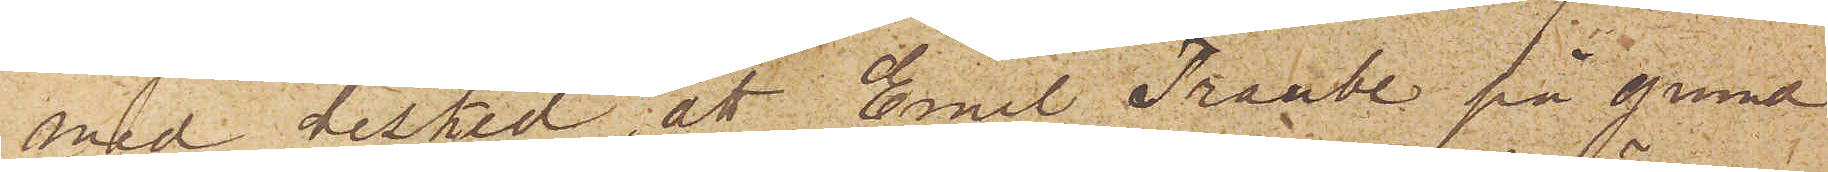med besked, att Emil Traube på grund
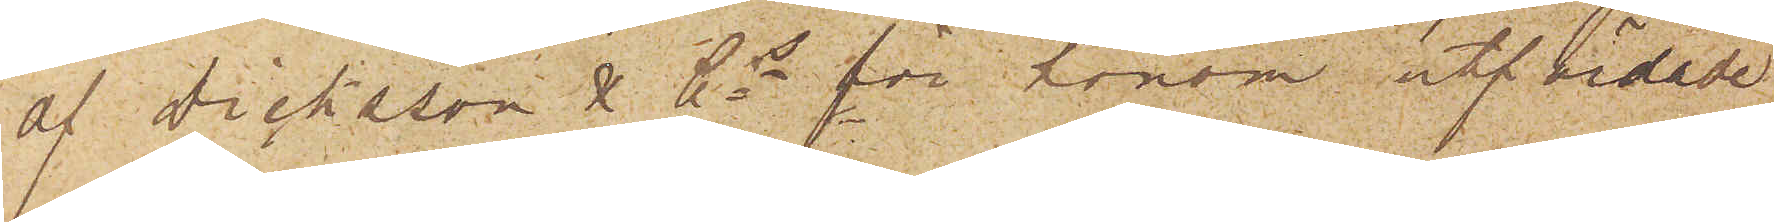af Dicksson & Cos för honom utfärdade
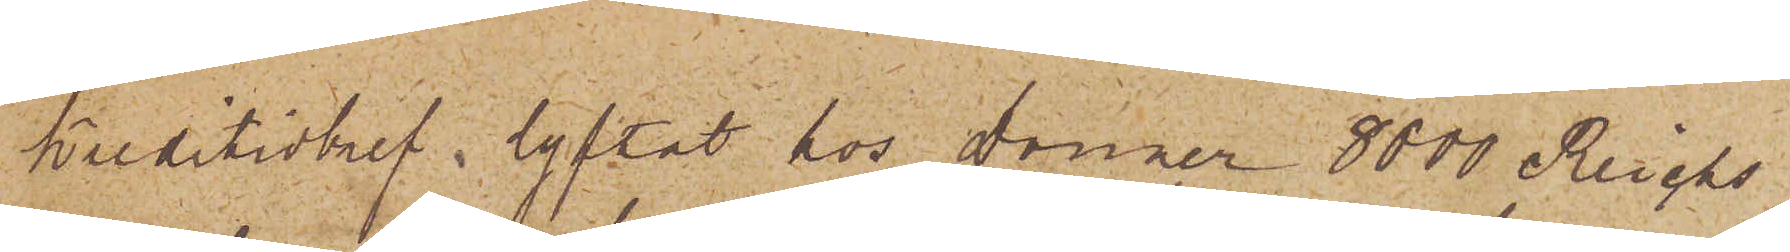Kreditivbref, lyftat hos Donner 8000 Reichs¬
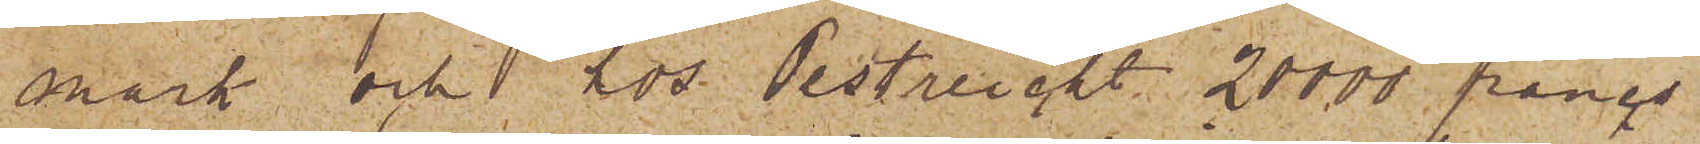mark och 1 hos Oestreicht 20000 francs
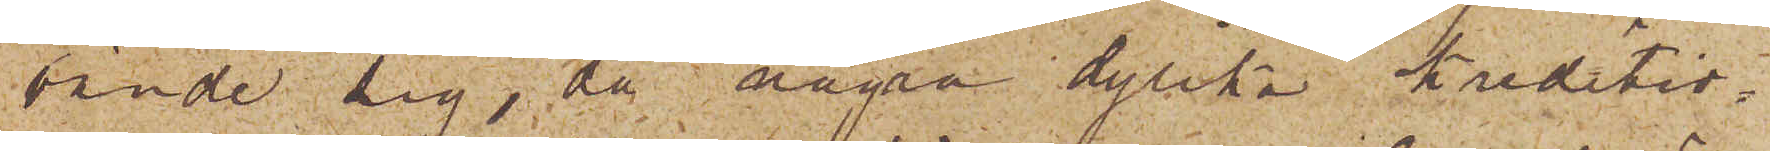vände sig, då några dylika Kreditiv¬
